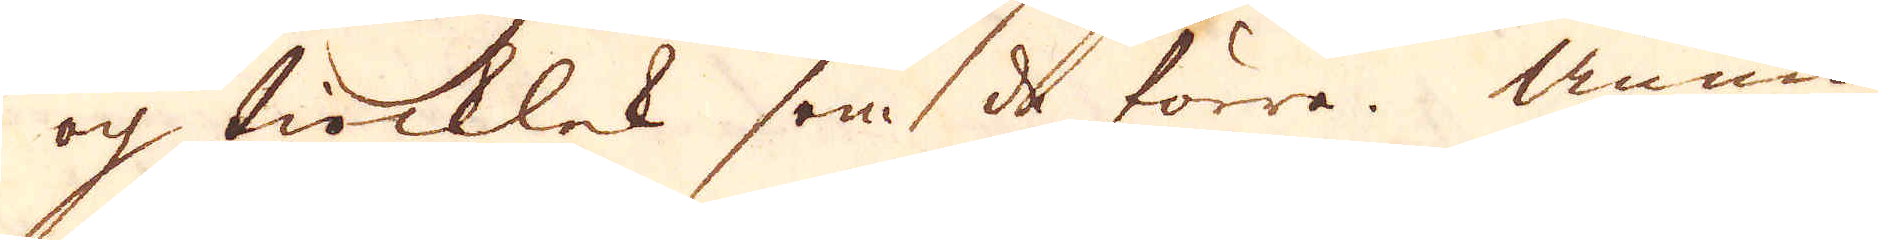och tiocklek som de förra. Ännu
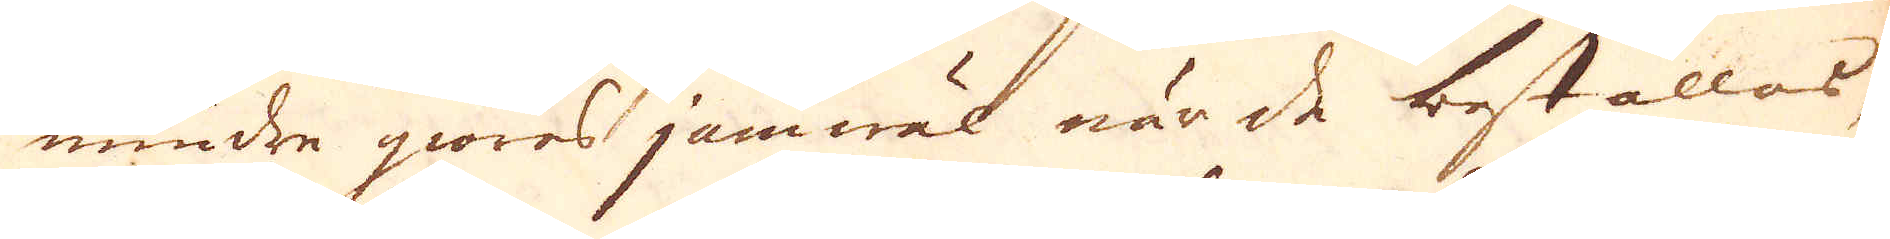mindre giöras jämwäl när de beställas,
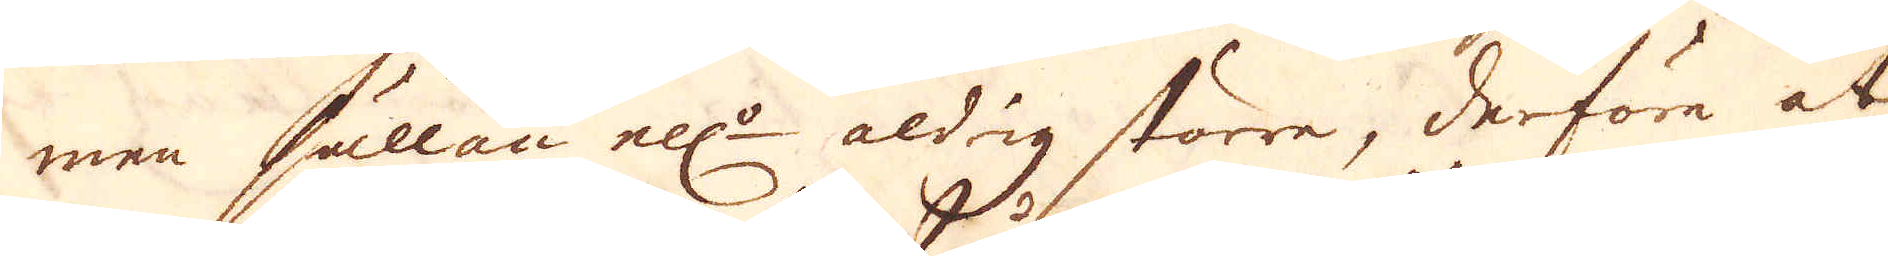men hällan ell:r aldrig större, derföre at
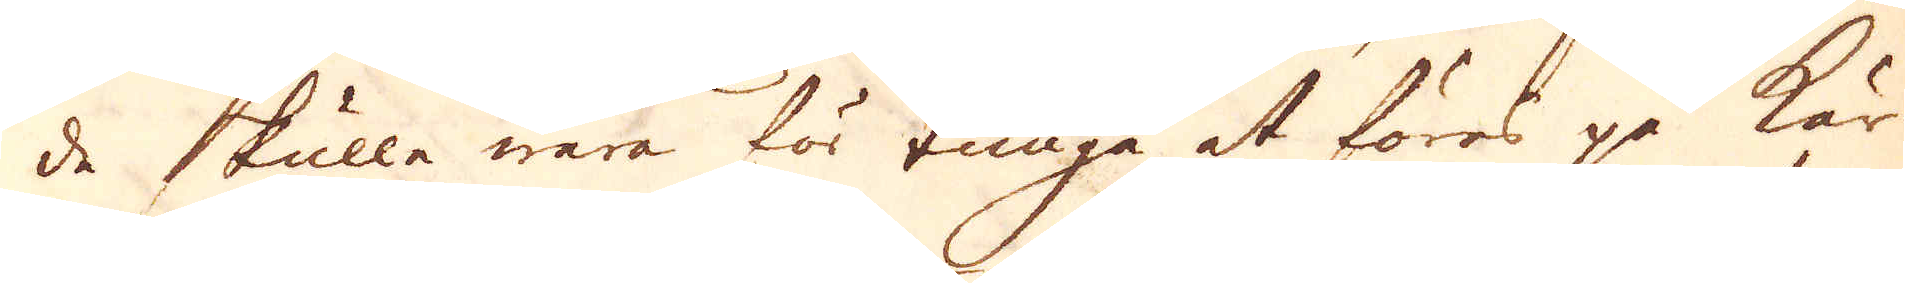de skulle wara för tunga at föres på kär-
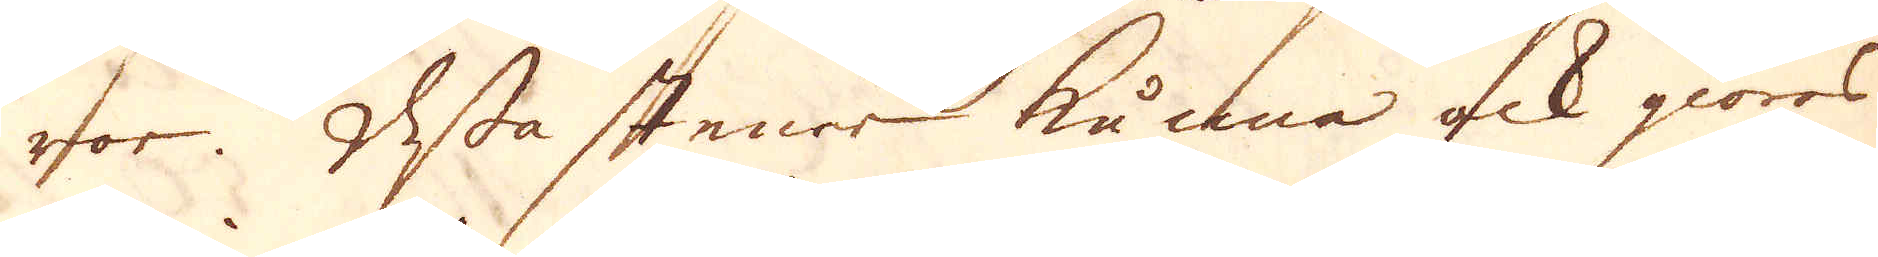ror. Dessa stenar kunna ock giöras
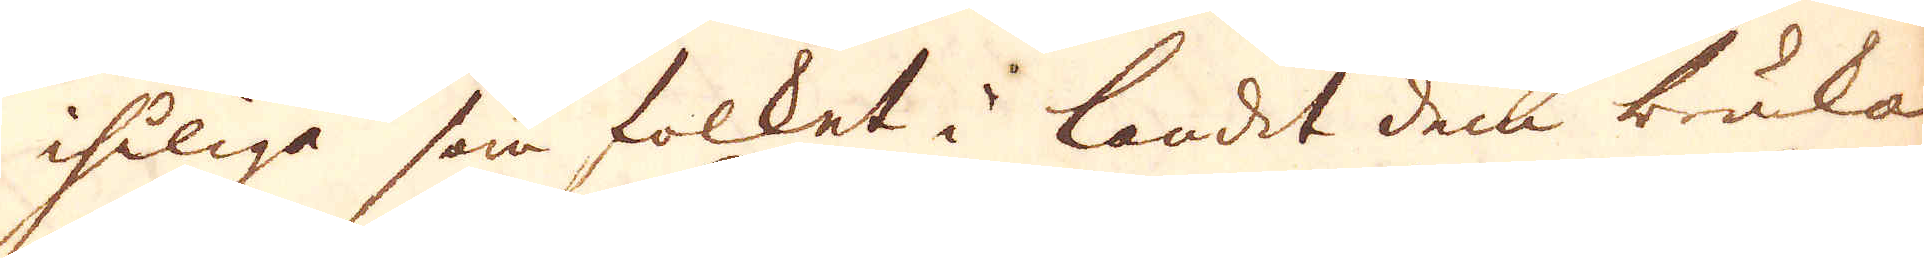ihåliga som folket i landet dem bruka
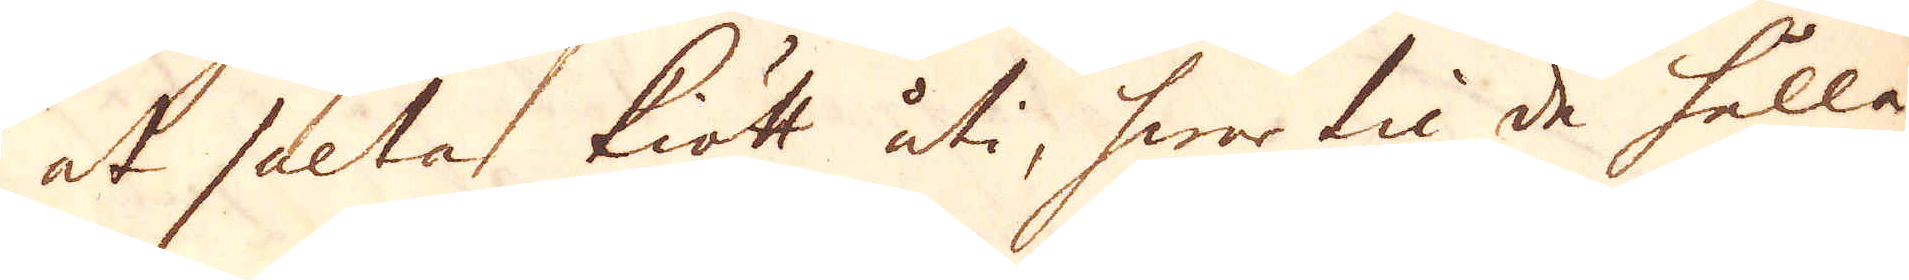at sälta kiött uti, hwar til de hålla
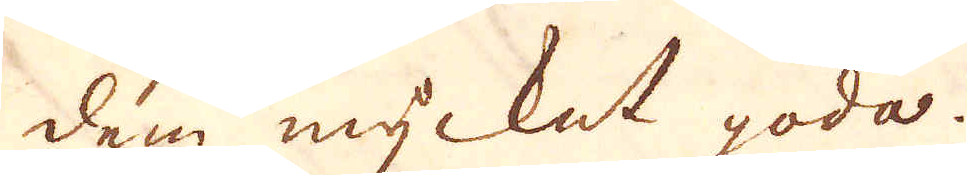dem mycket goda.
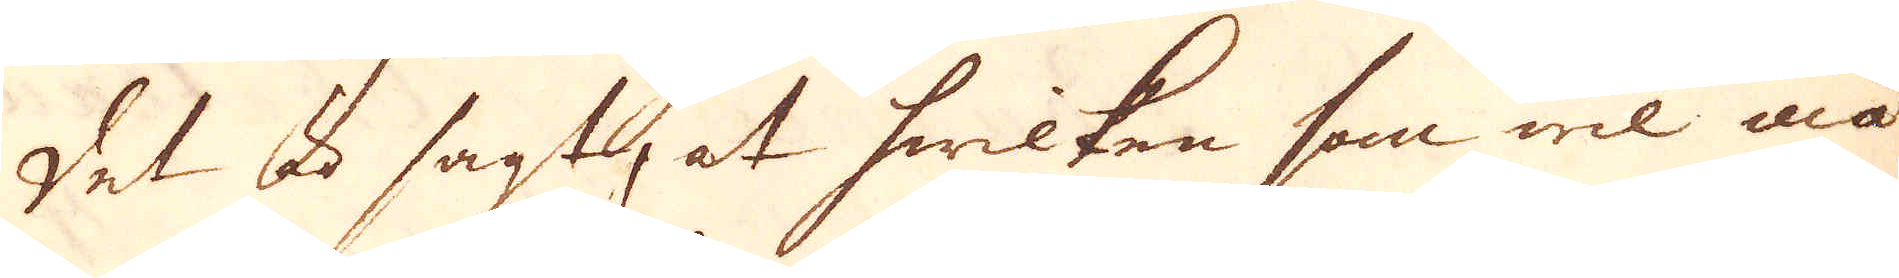Det är sagt, at hwilken som wil må
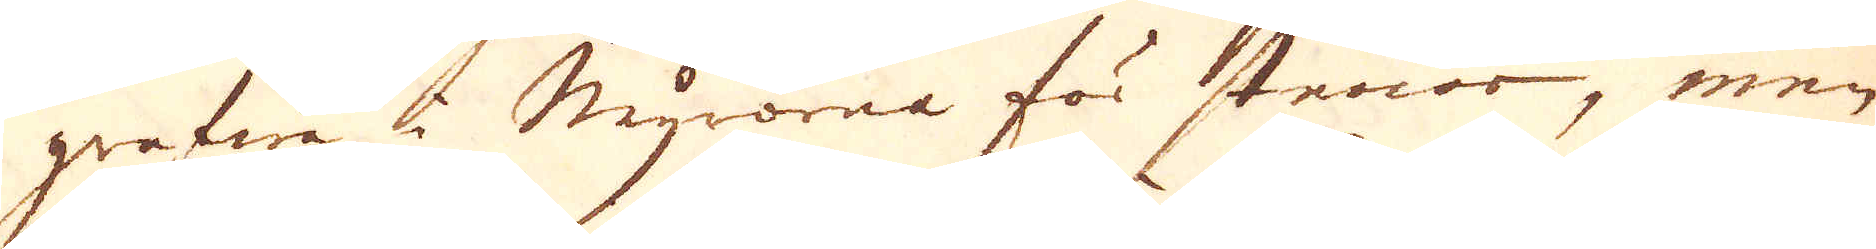grefwa i Myrorna för stenar, men
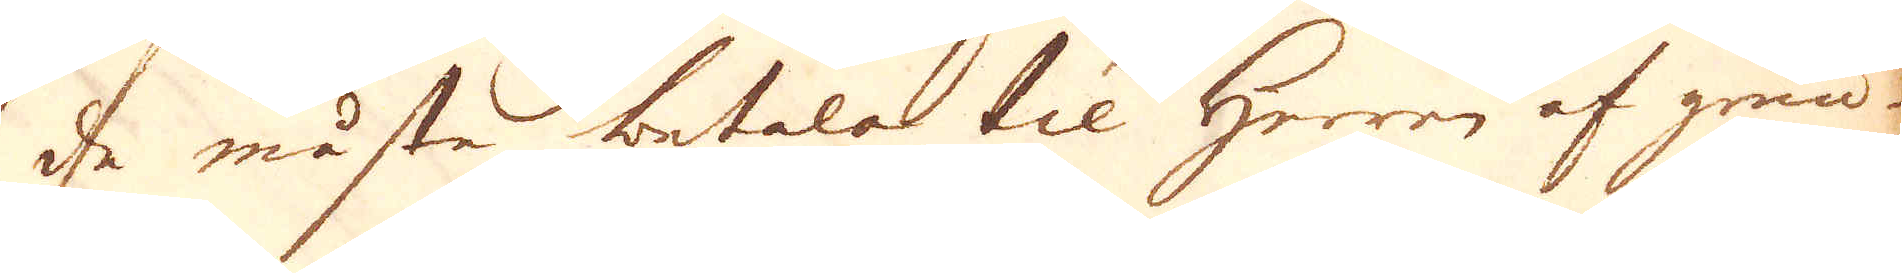de måsta betala til Herren af grun-
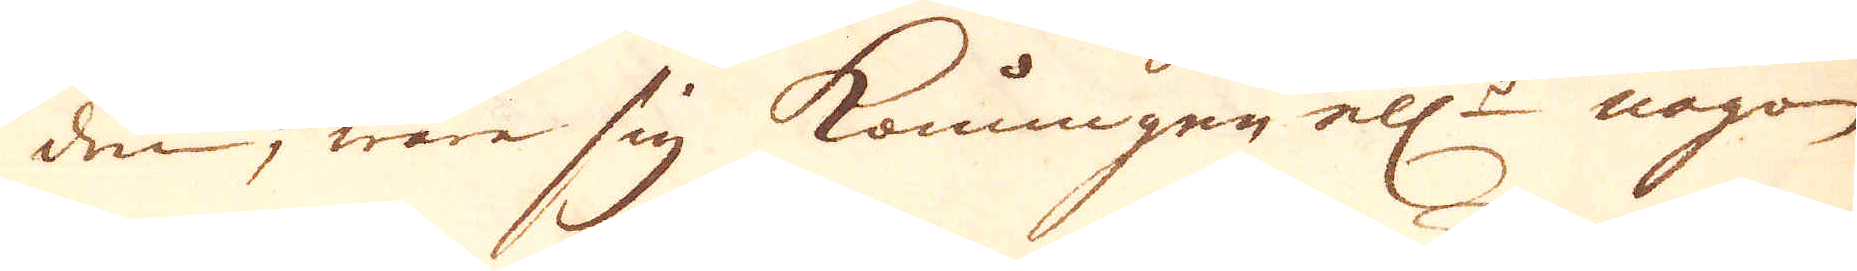den, ware sig Konungen ell:r någon
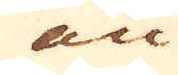an
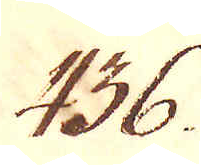436.
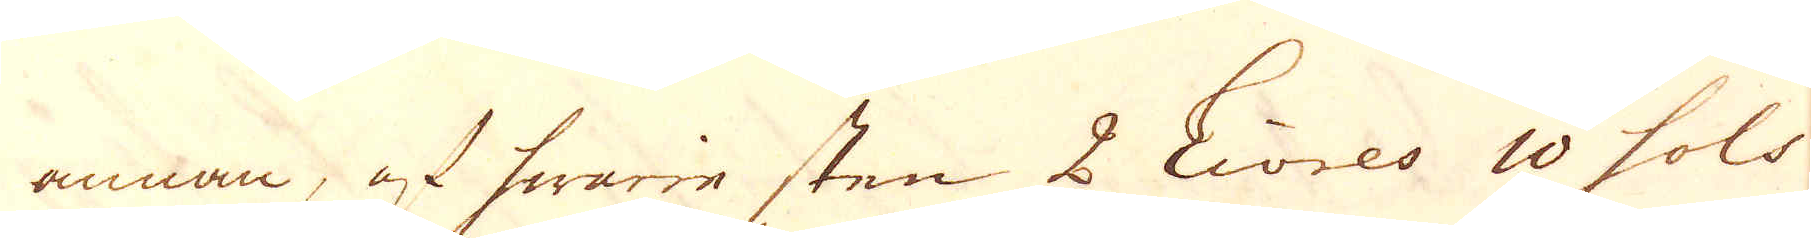annan, af hwarie sten 2 Livres 10 sols
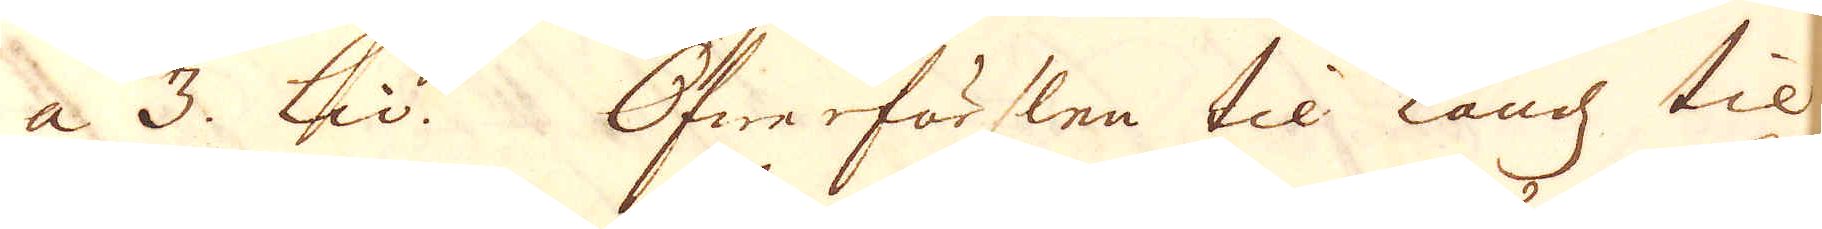a 3. liv. Öfwerförslen til landz til
